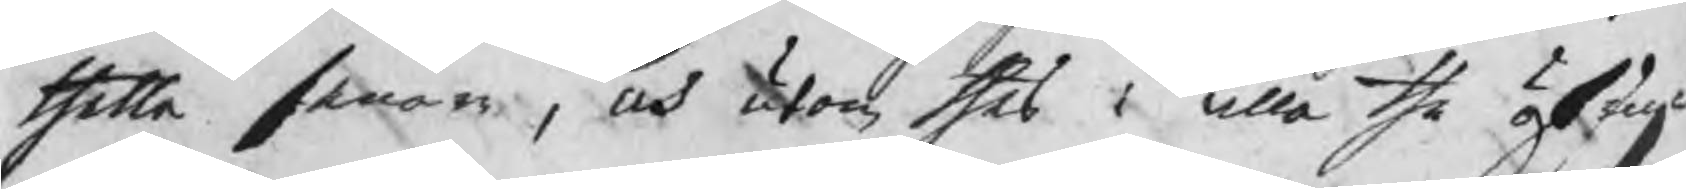thetta senare, och utan thes i alla the öfrige
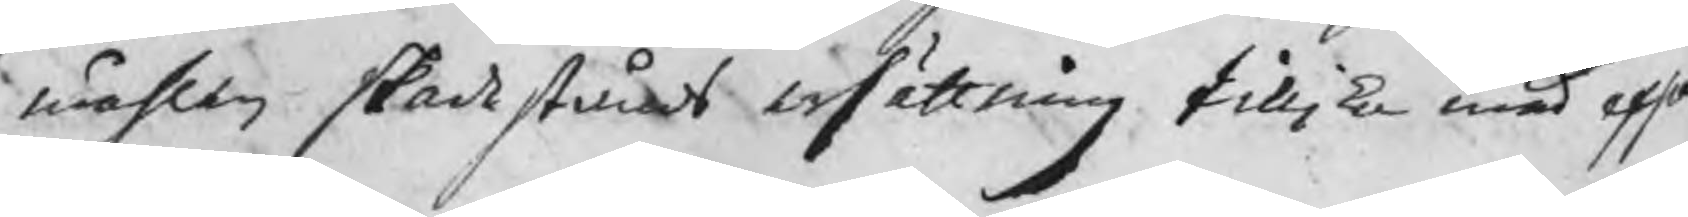måhlen skadestånds ersättning tillika med exp
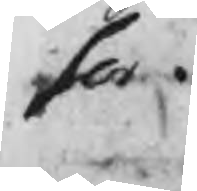ser.
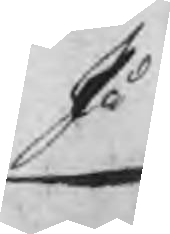På
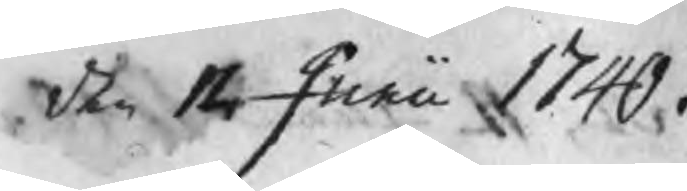den 12 Junii 1740
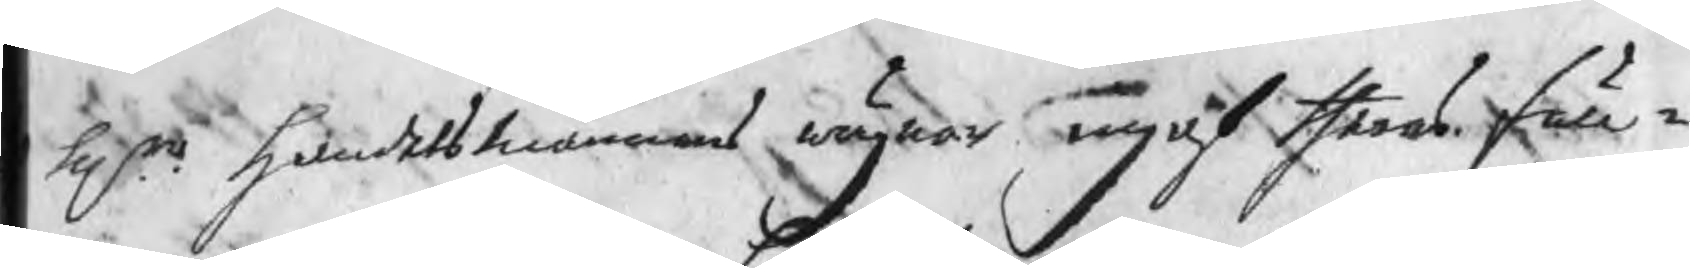Hrr handelsmännens wägnar ingaf theras full¬
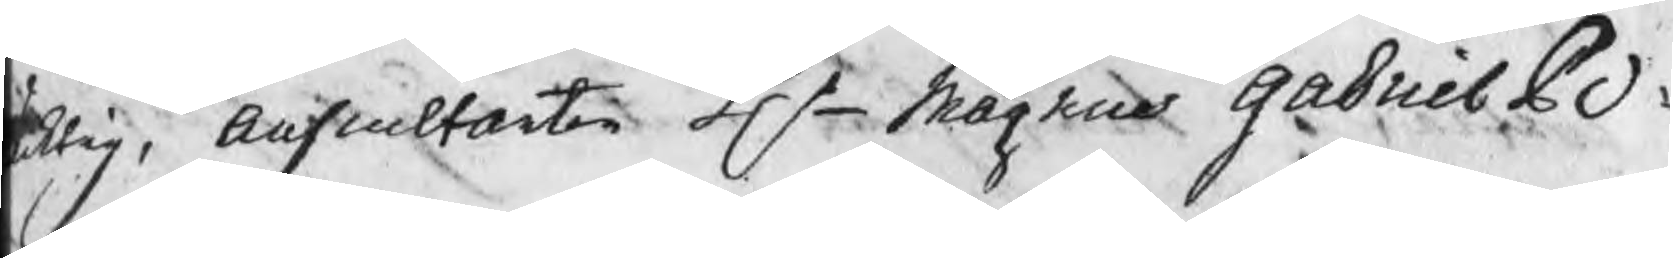chtig, Auscultanten Hr Magnus Gabriel Po¬
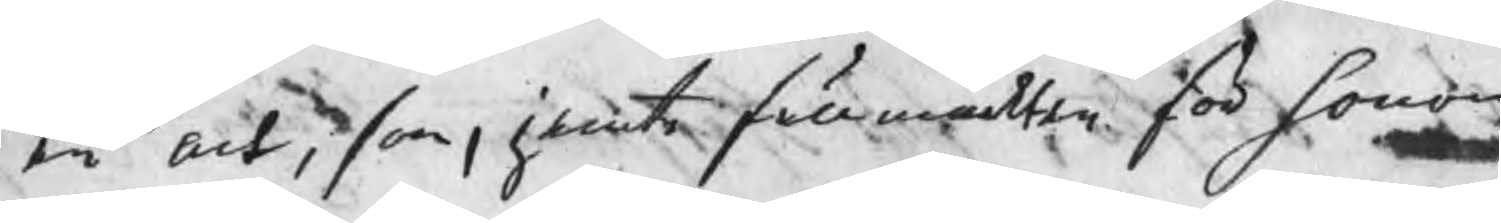en act, som, jemte fullmackten för honom
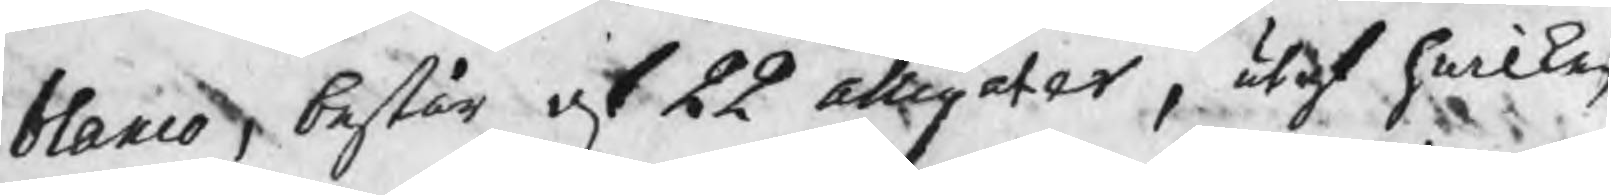blanco, består af 22 alligater, utaf hwilken
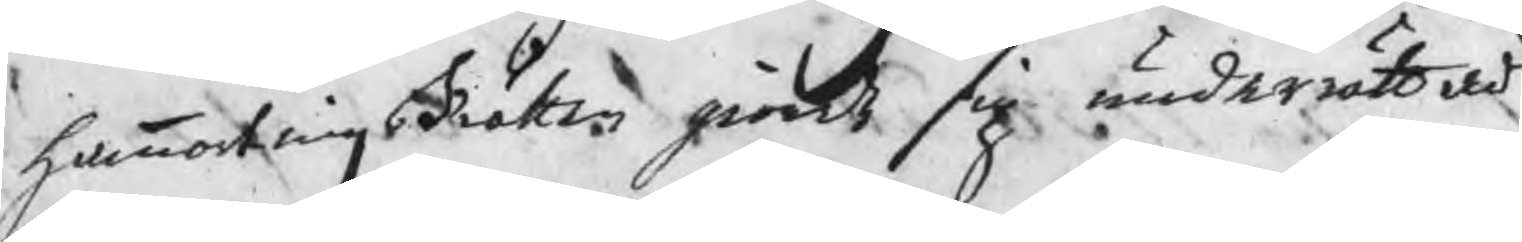hammartingsRätten giordt sig underrättad,
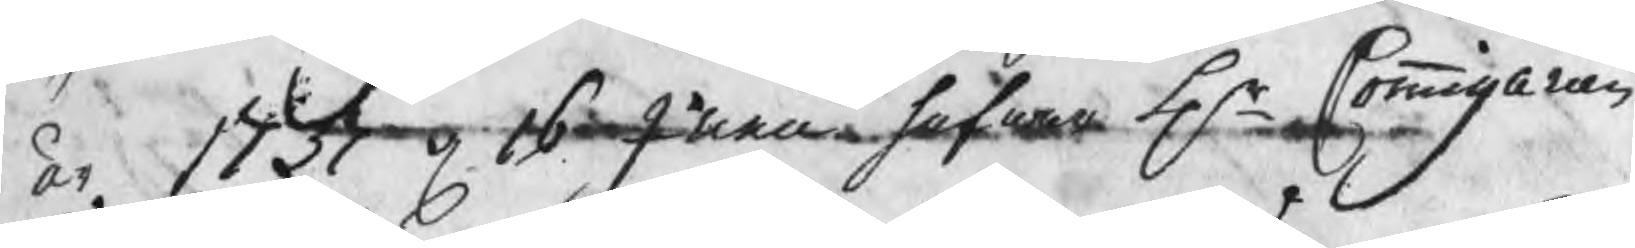år 1737 d 16 Junii hafwa Hr Commissarien
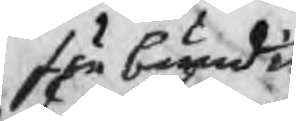förbundit
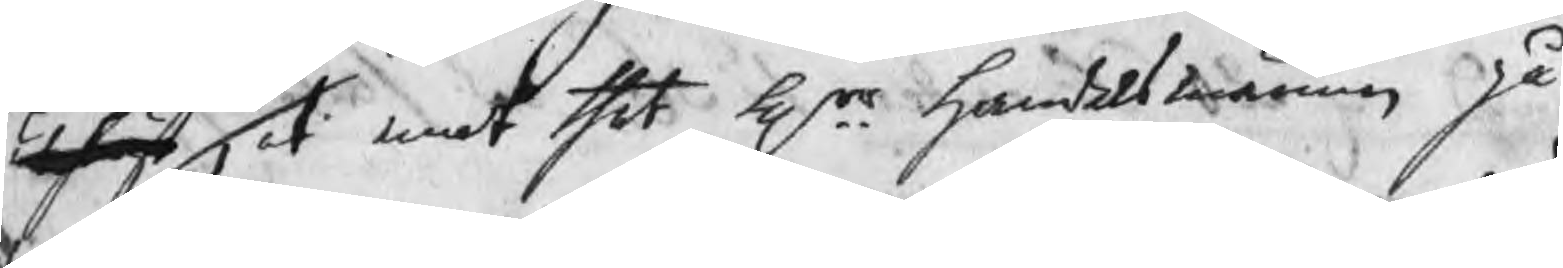utfäst, at emot thet Hrr handelsmännen på
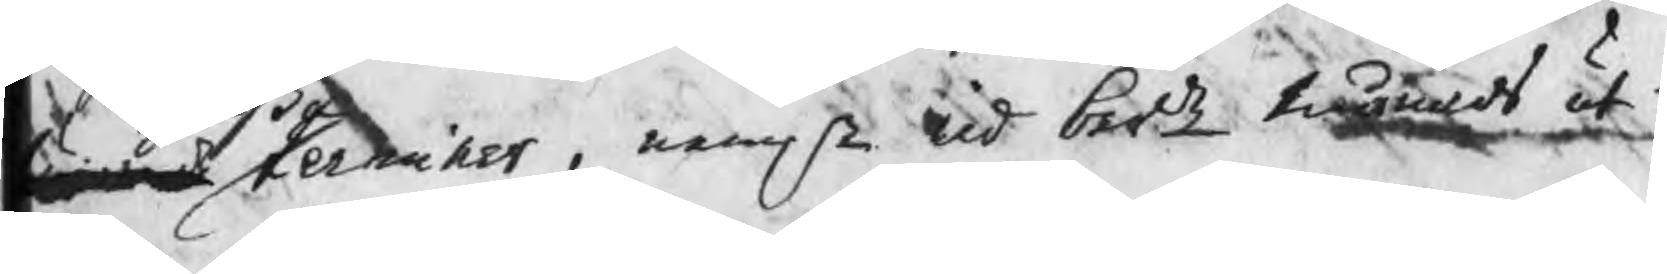terminer , nemln wid berde månads ut¬
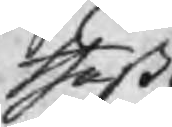theßa
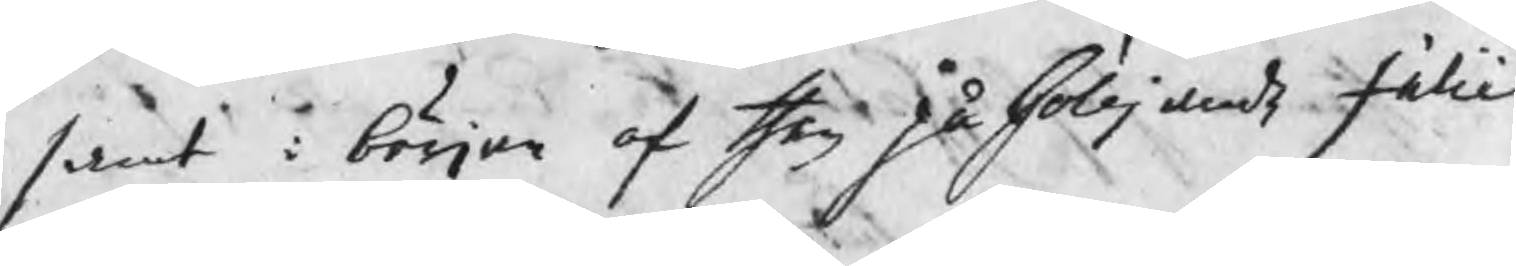samt i början af then påfölljande Julii
